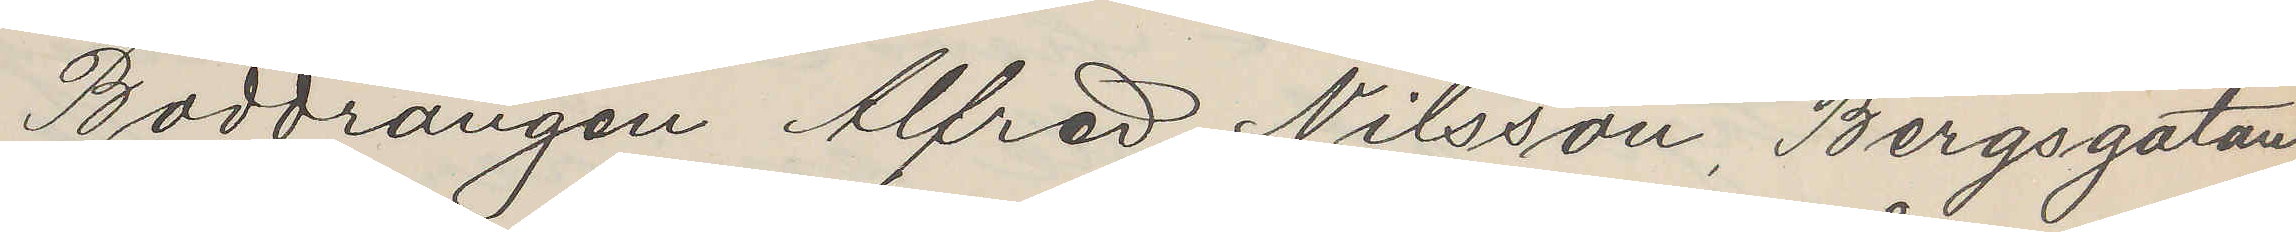Boddrängen Alfred Nilsson, Bergsgatan
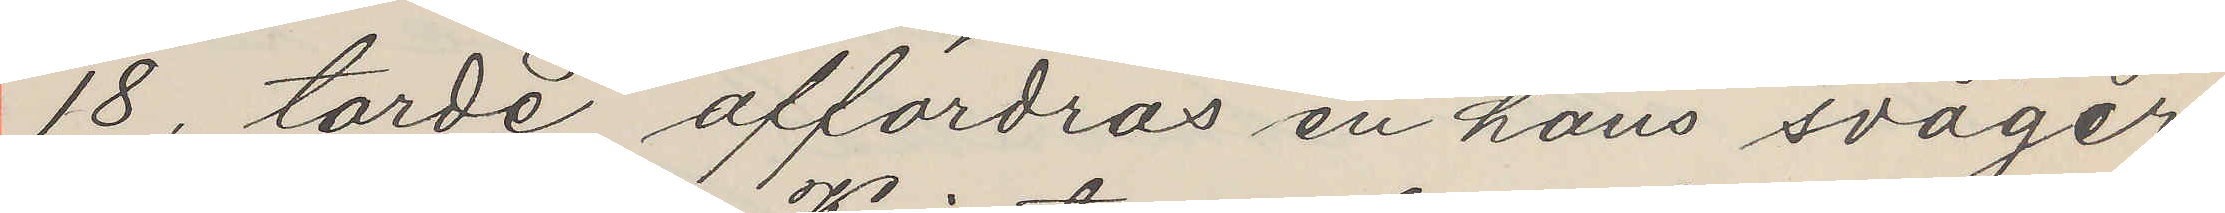18, torde affordras en hans svåger
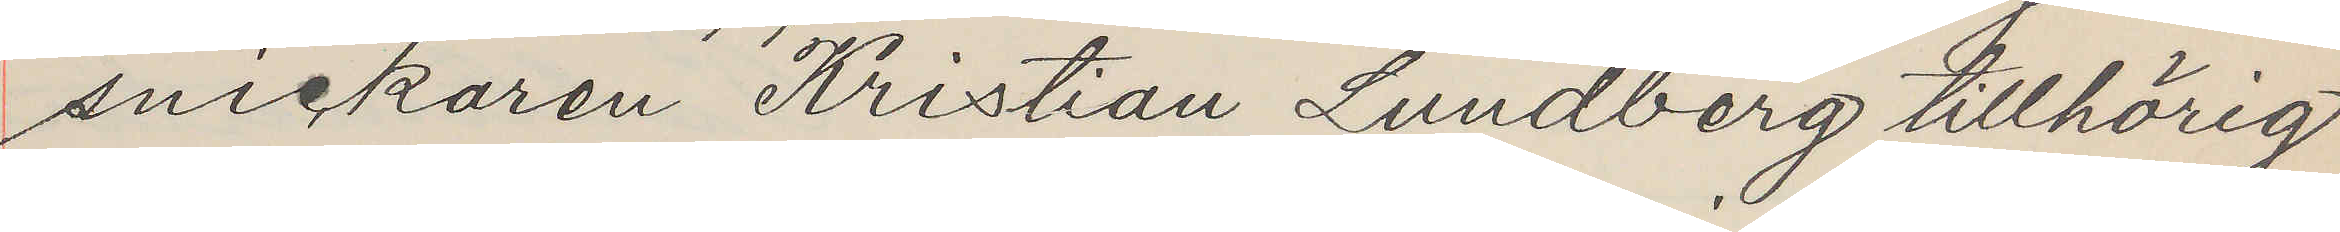snickaren Kristian Lundberg tillhörig
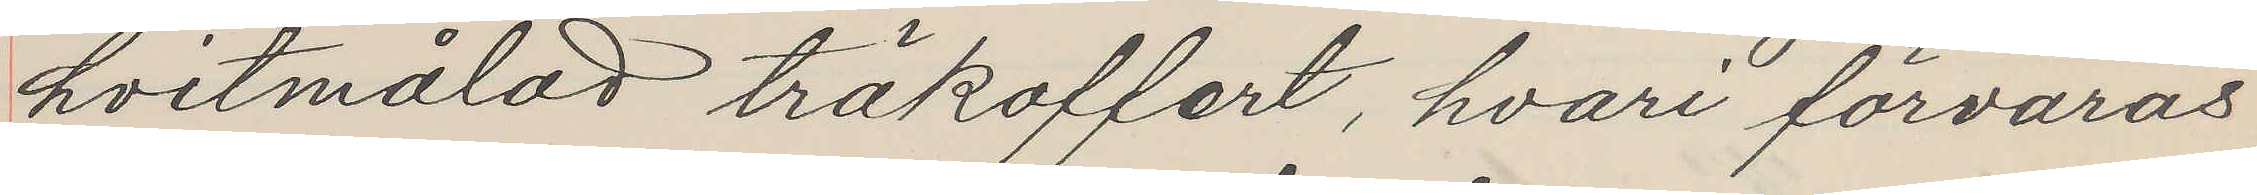hvitmålad träkoffert, hvari förvaras
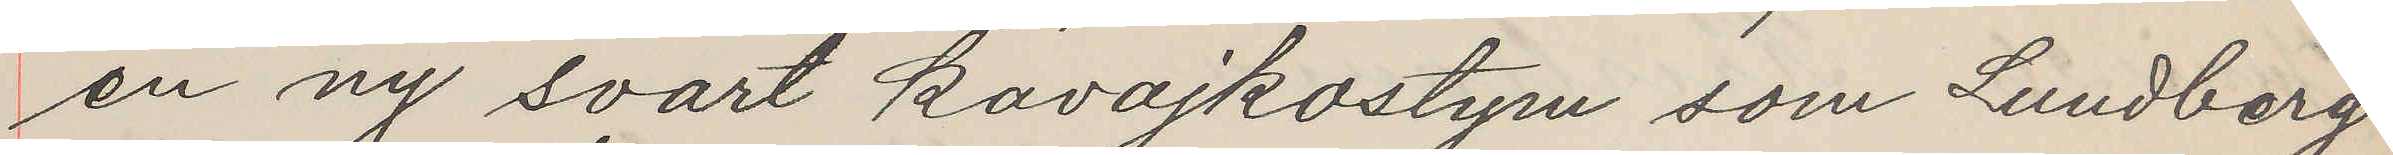en ny svart kavajkostym som Lundberg
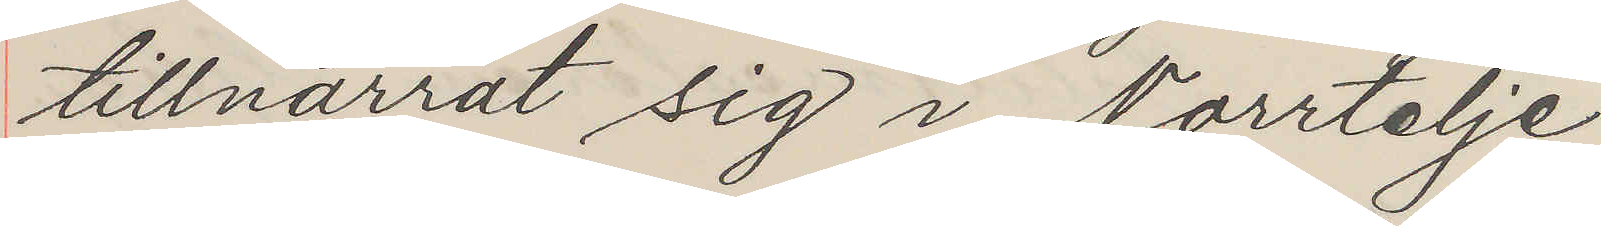tillnarrat sig i Norrtelje.
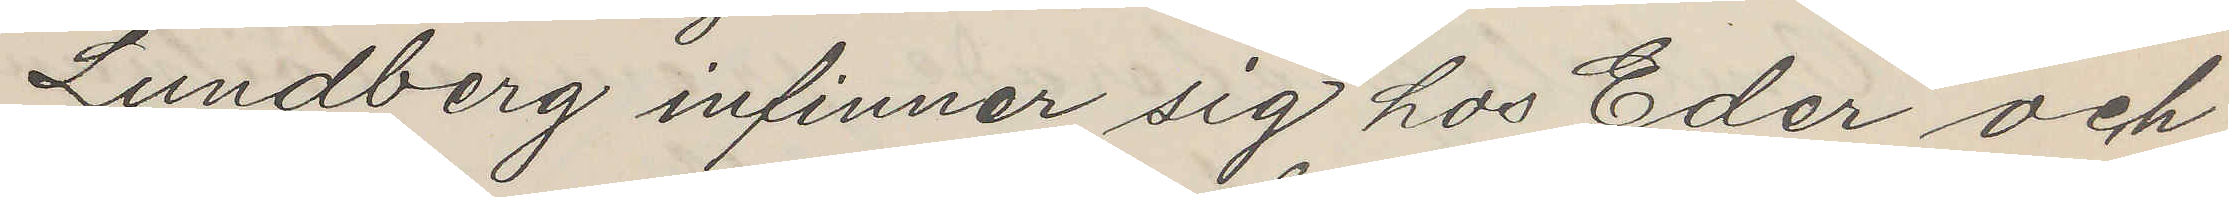Lundberg infinner sig hos Eder och
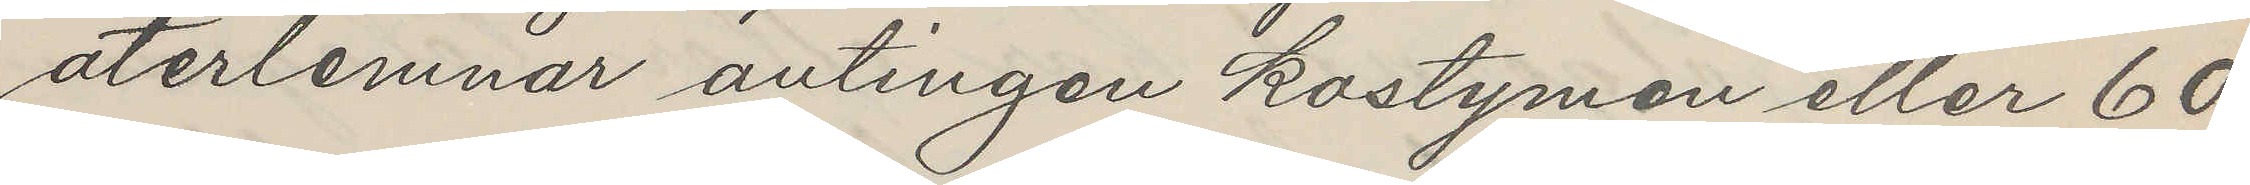återlemnar antingen kostymen eller 60
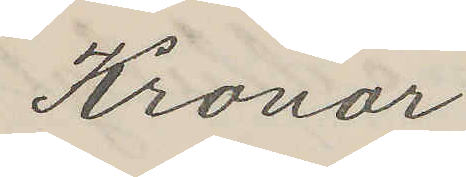Kronor
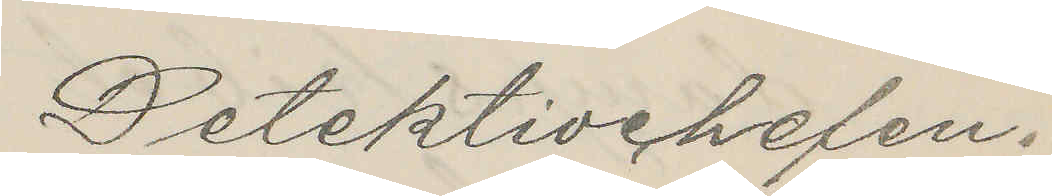Detektivchelen.
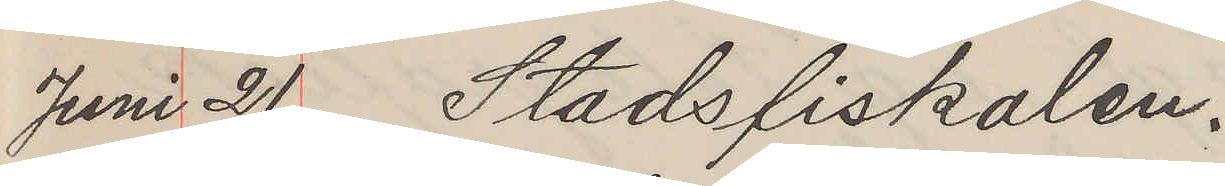Juni 21 Stadsfiskalen.
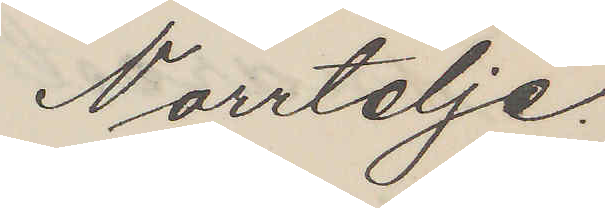Norrtelje.
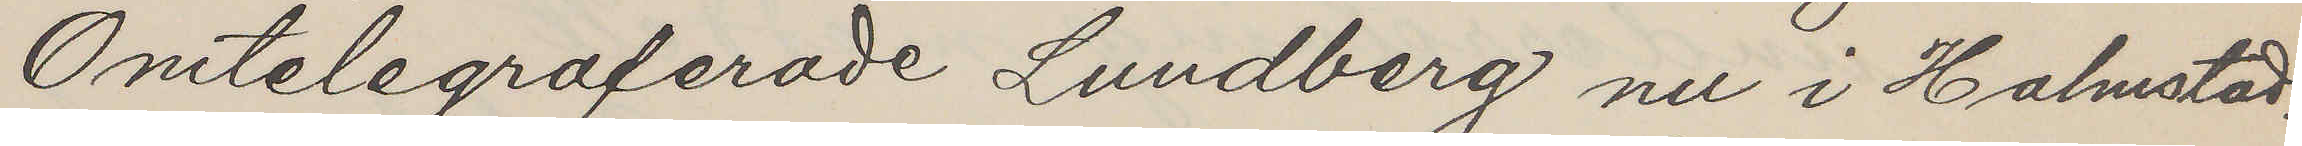Omtelegraferade Lundberg nu i Halmstad.
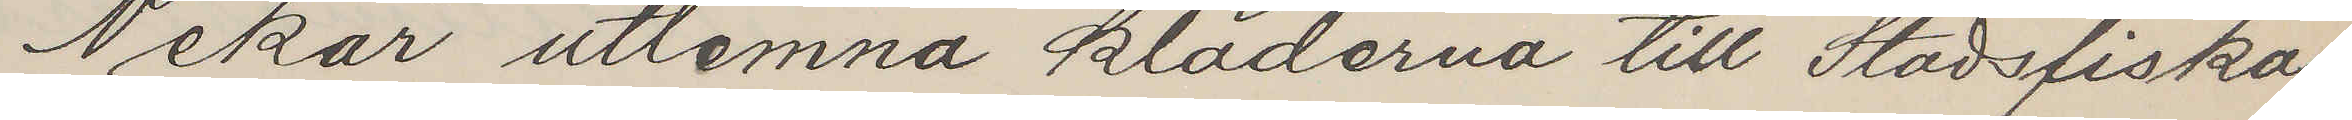Nekar utlemna kläderna till Stadsfiska¬
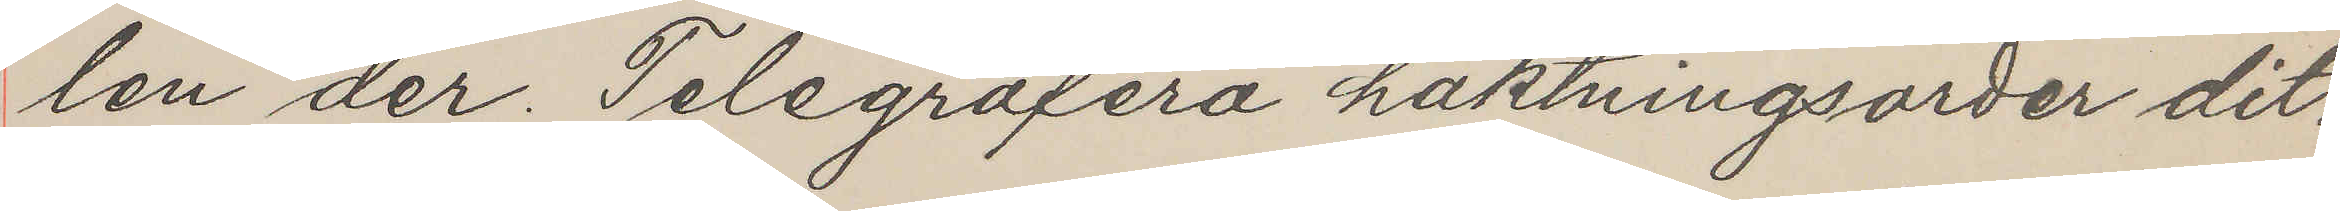len der. Telegrafera häktningsorder dit.
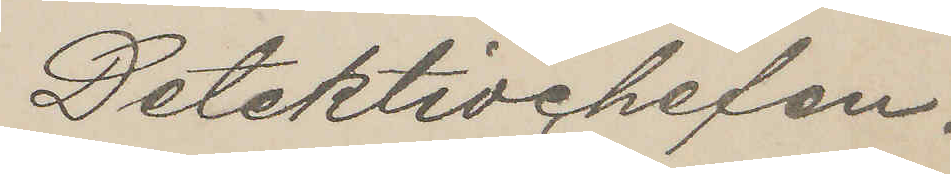Detektivchefen.
